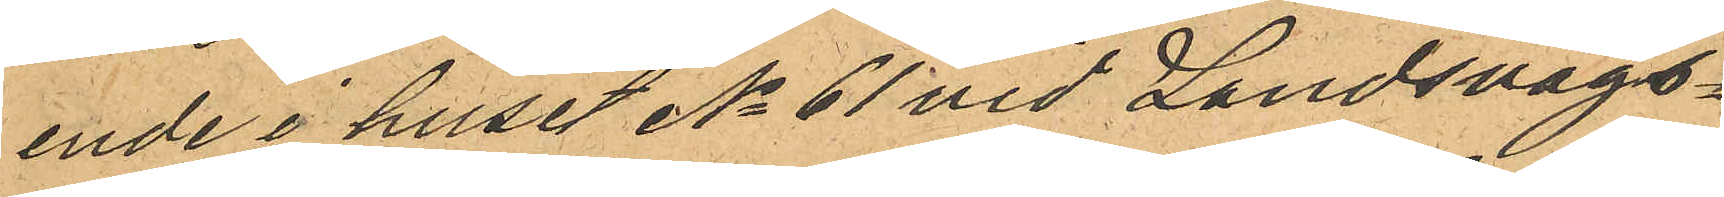ende i huset No 61 vid Landsvägs¬
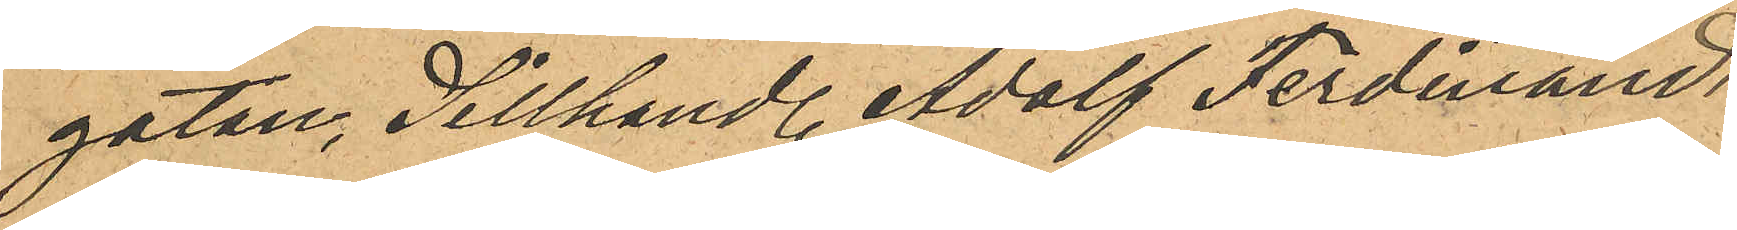gatan, Sillhandl. Adolf Ferdinand
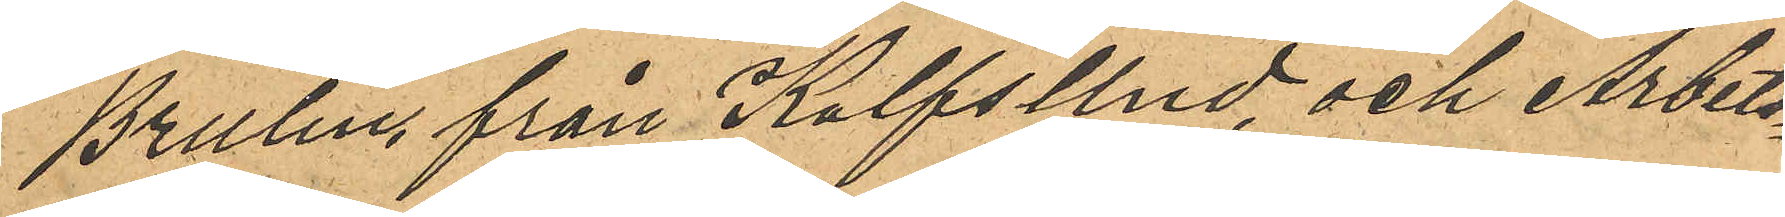Brulin, från KalfsUnd, och Arbets¬
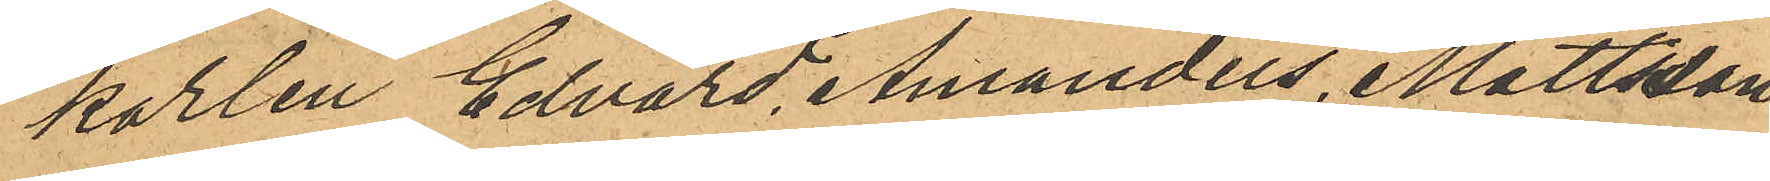karlen Edvard Amandus Mattsson,
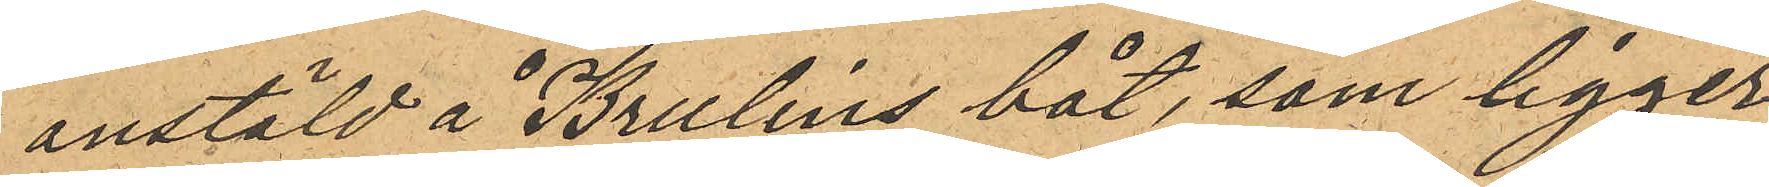anstäld å Brulins båt, som ligger
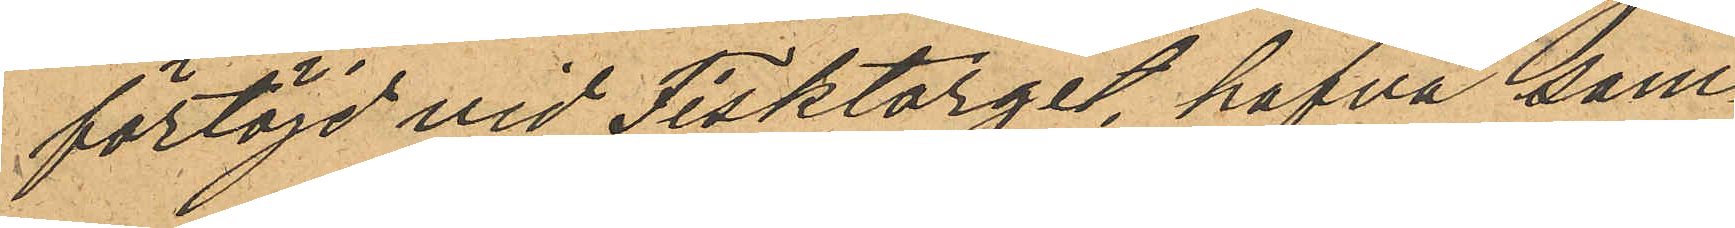förtöjd vid Fisktorget, hafva sam¬
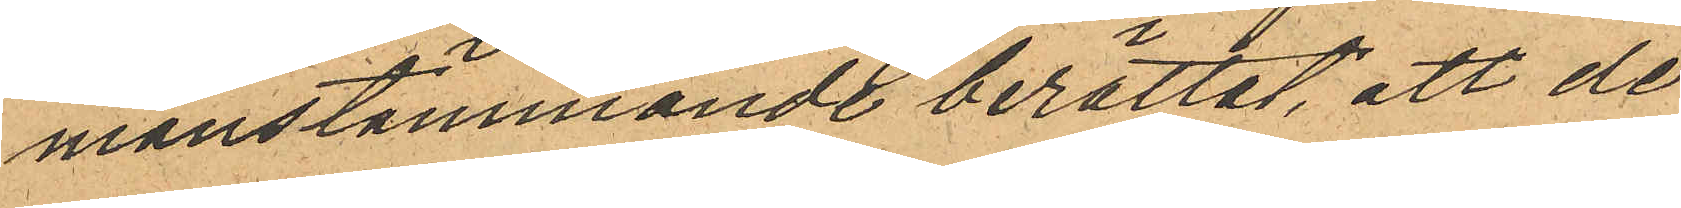manstämmande berättat att de
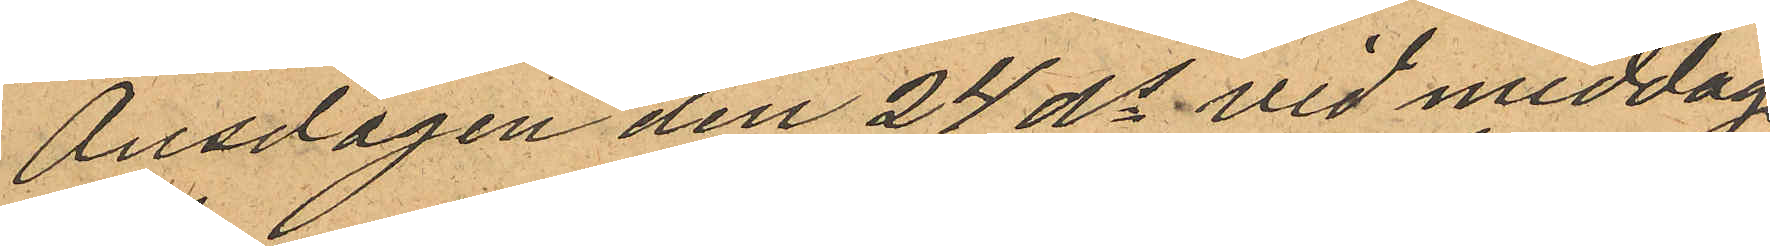Onsdagen den 24 ds vid middags¬
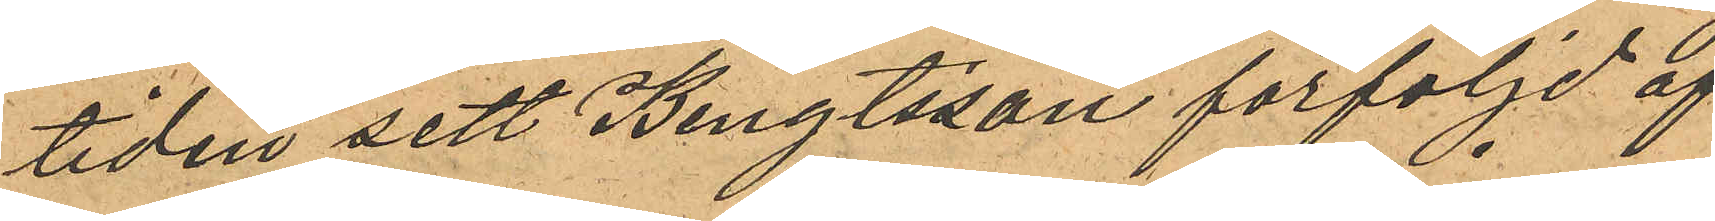tiden sett Bengtsson förföljd af
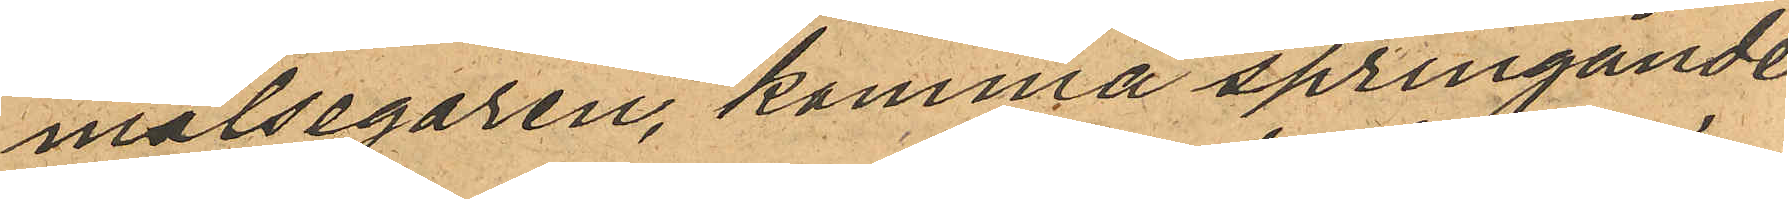målsegaren, komma springande
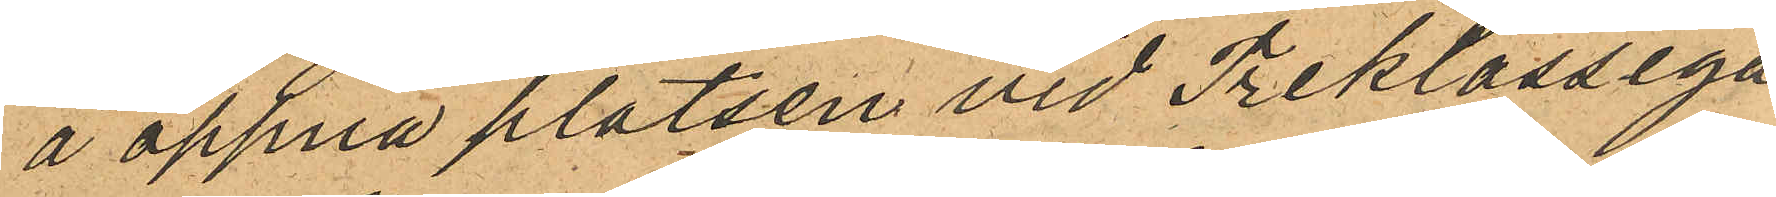å öppna platsen vid Treklassiga
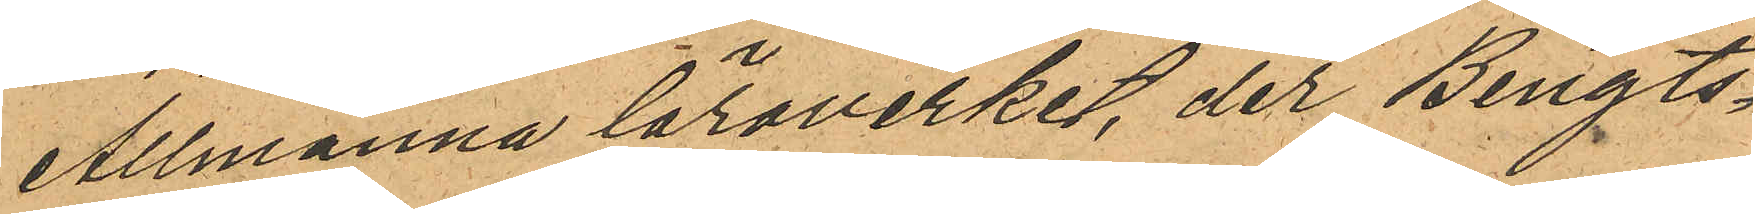Allmänna läroverket, der Bengts¬
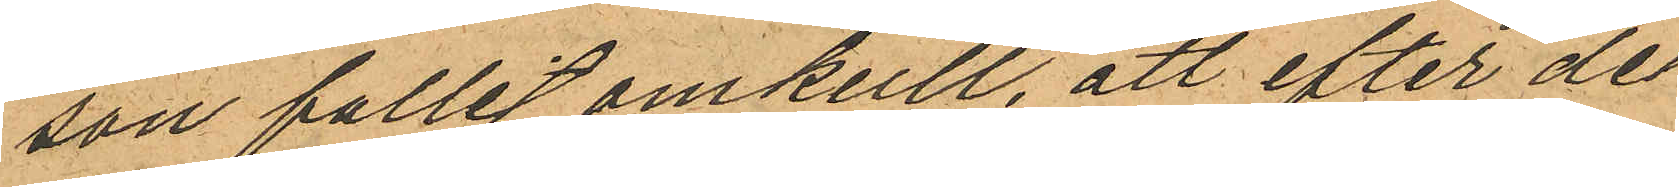son fallit omkull, att efter det
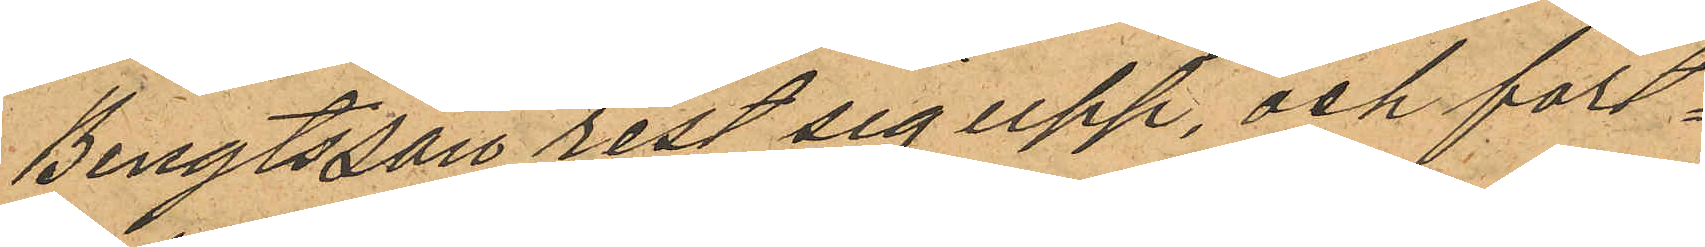Bengtsson rest sig upp, och fort¬
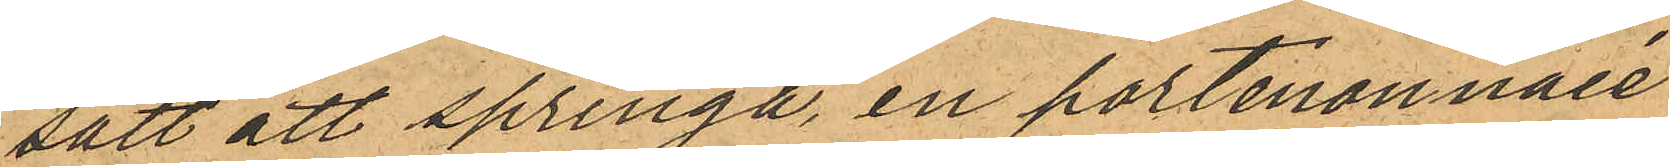satt att springa, en portmonnaie
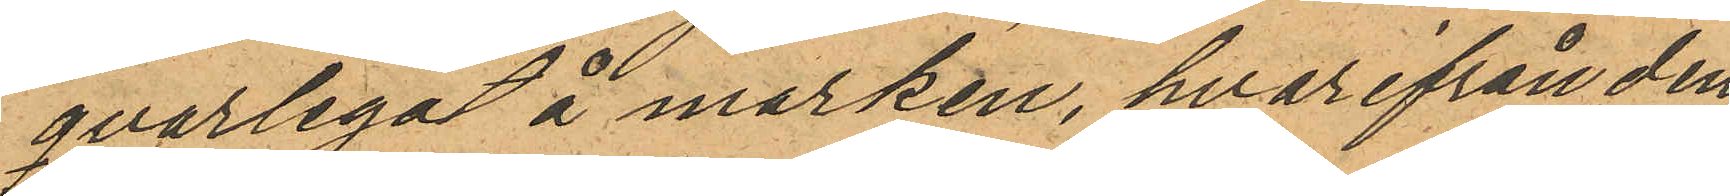qvarlegat å marken, hvarifrån den
